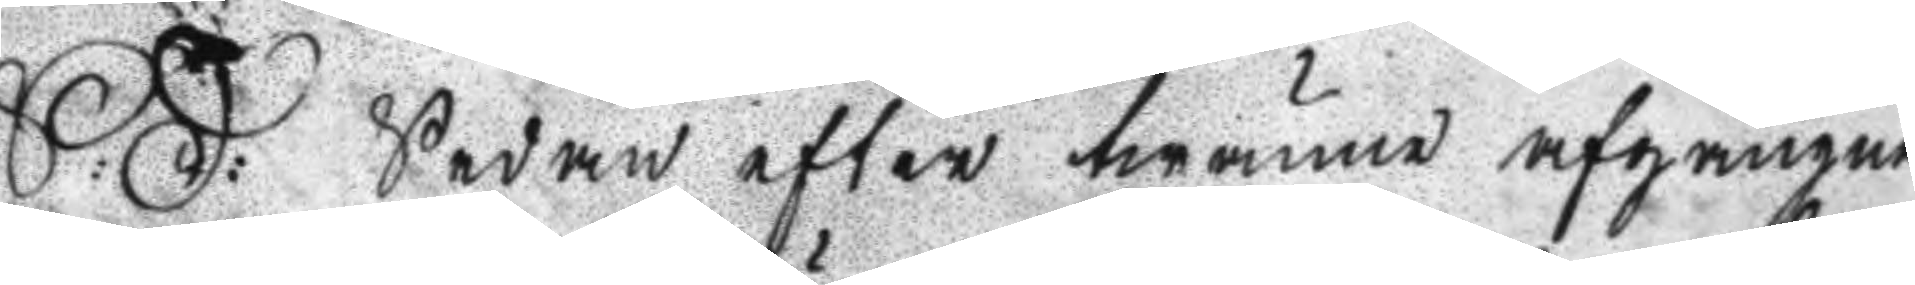S: D: Sedan efter twänne afgångne
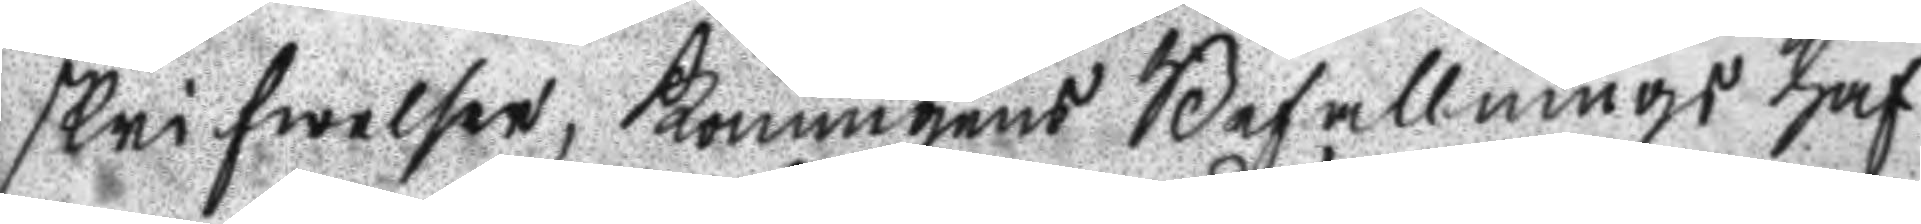skrifwelser, Konungens Befallnings haf
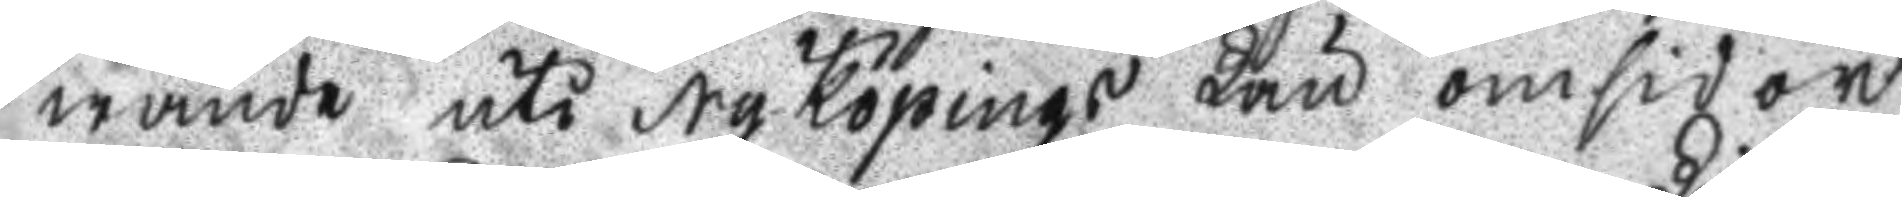wande uti Nyköpings Län omsidor
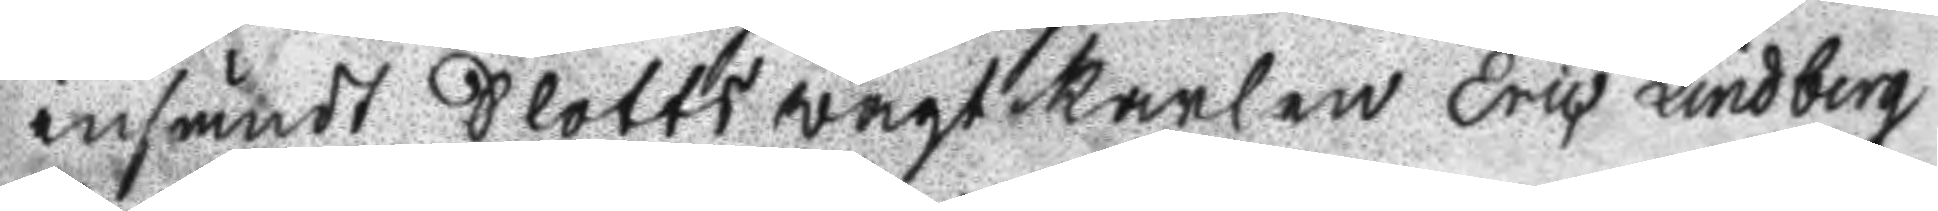insändt Slottswagtkarlen Eric Lindberg
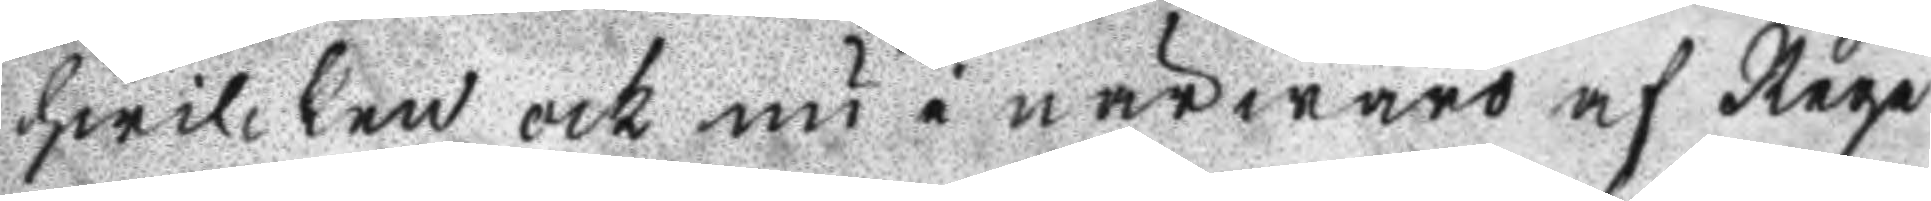hwilken ock nu i närwaro af Rege
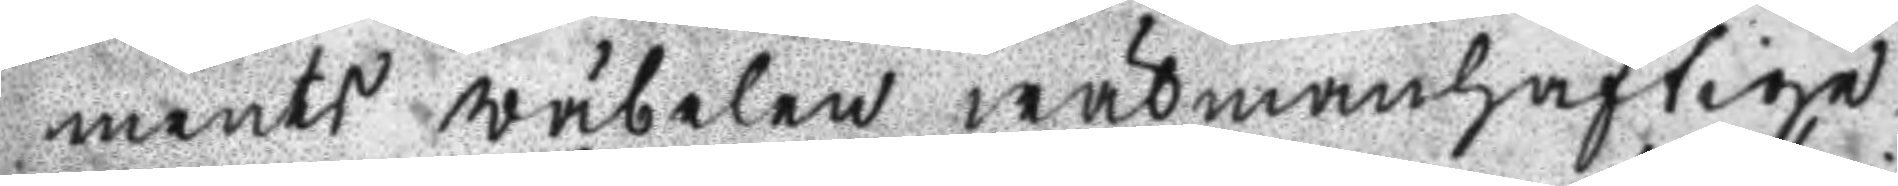ments wäbelen wälmanhaftige
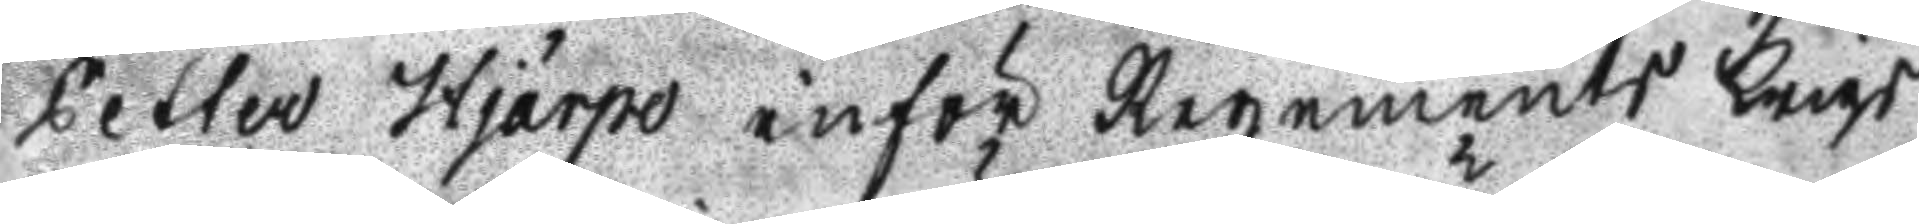Petter Hjärpe inför regements Krigs
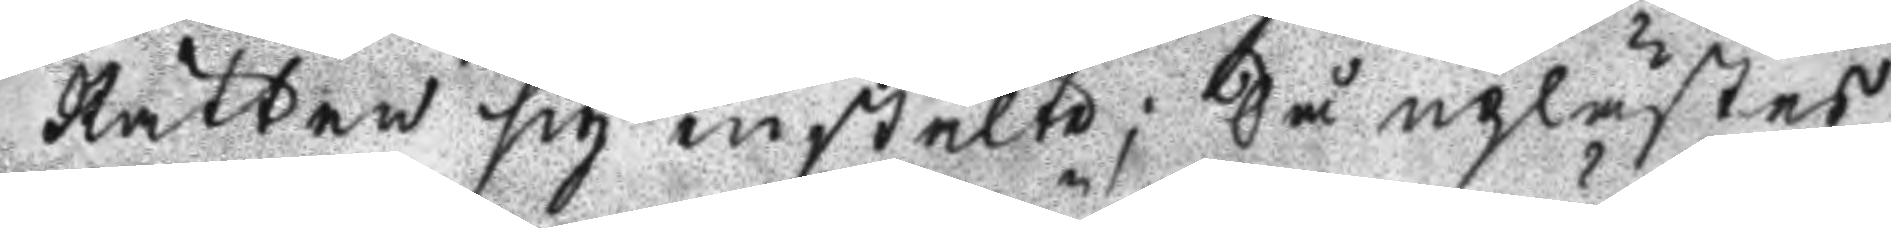Rätten sig instälte; Så uplästes
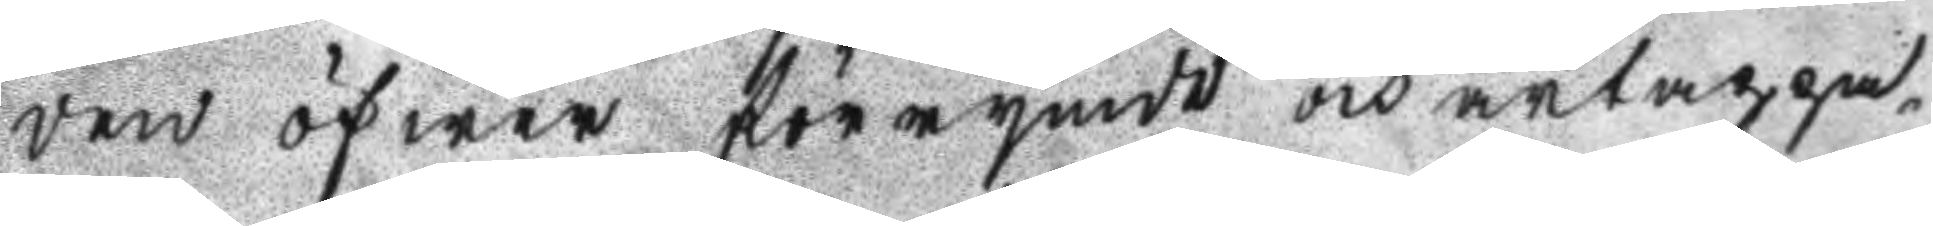den öfwer förrymde och ärtappa¬
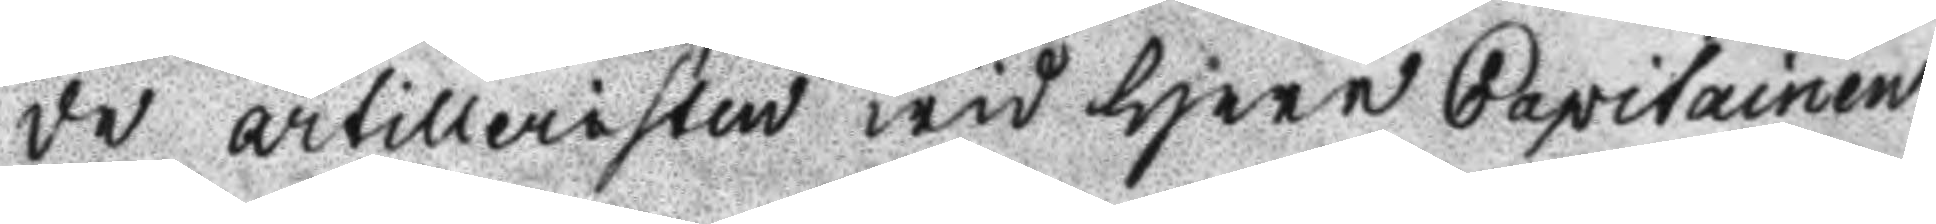de artilleristen wid Herr Capitainen
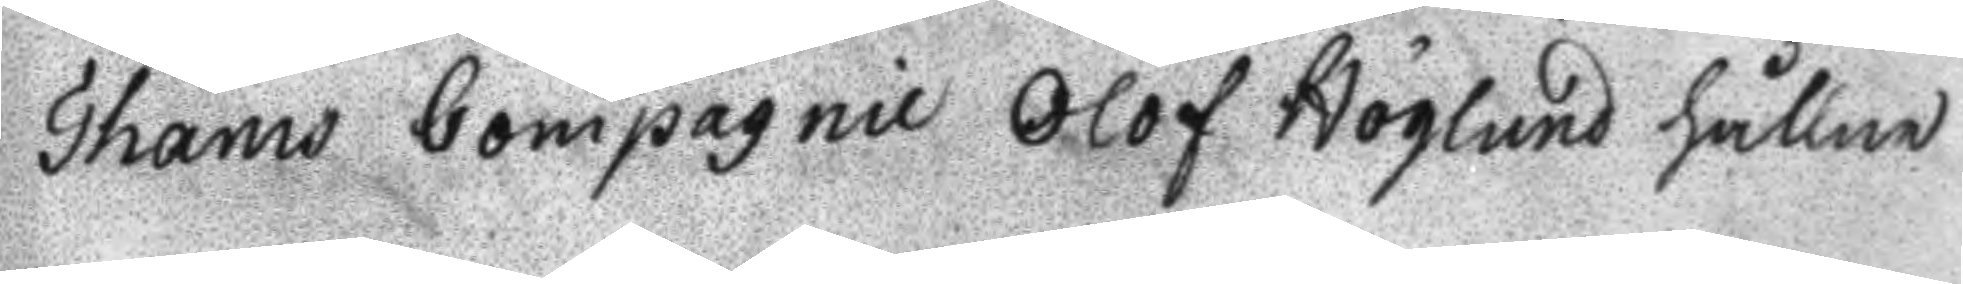Thams Compagnie Olof Höglund hållne
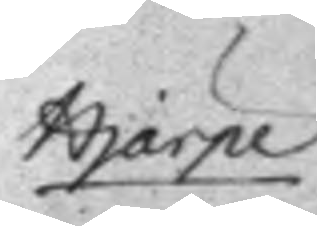Hjärpe
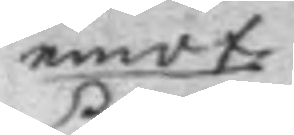emot
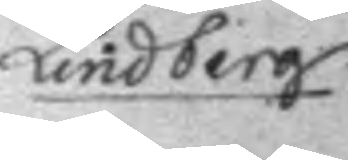Lindberg
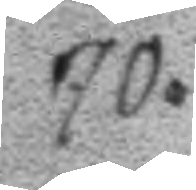70.
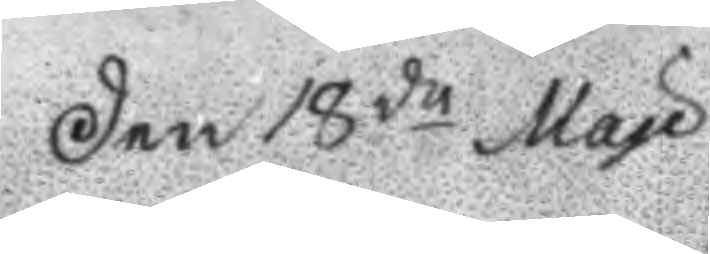Den 18de Maji
